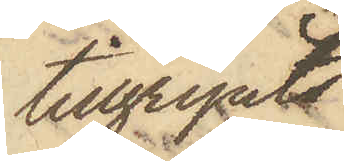tillgripits
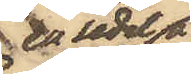en sedel å
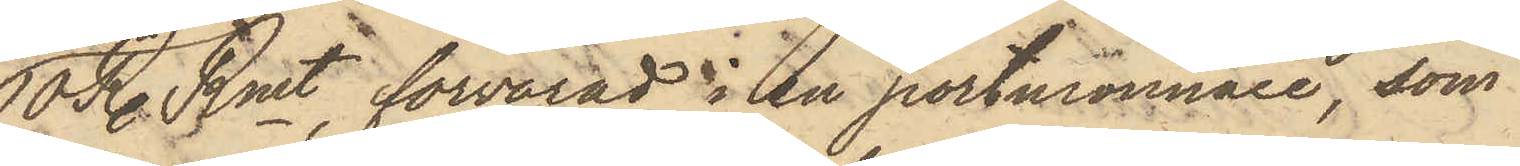10 R. Rmt, förvarad i en portmonnaie, som
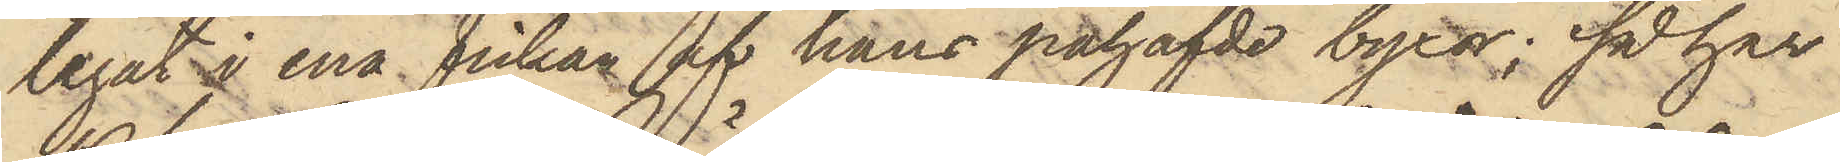legat i ena fickan af hans påhafde byxor; så har
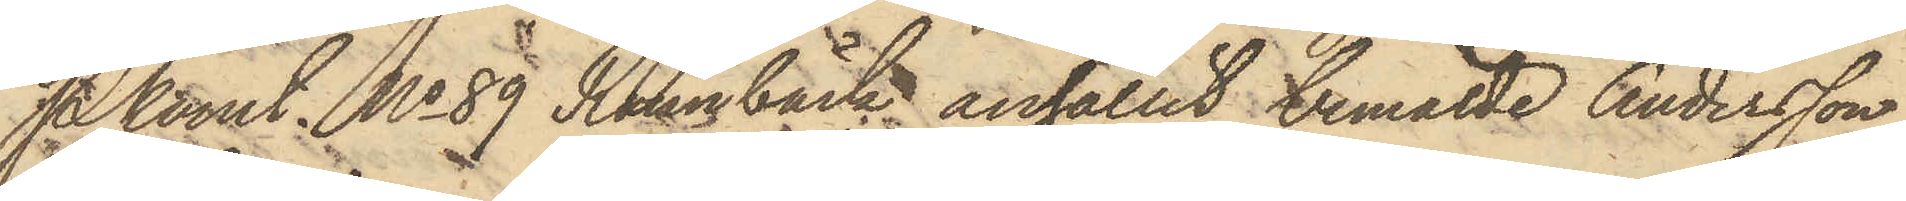PKonst No 89 Rönnbäck anhållit bemälde Andersson,
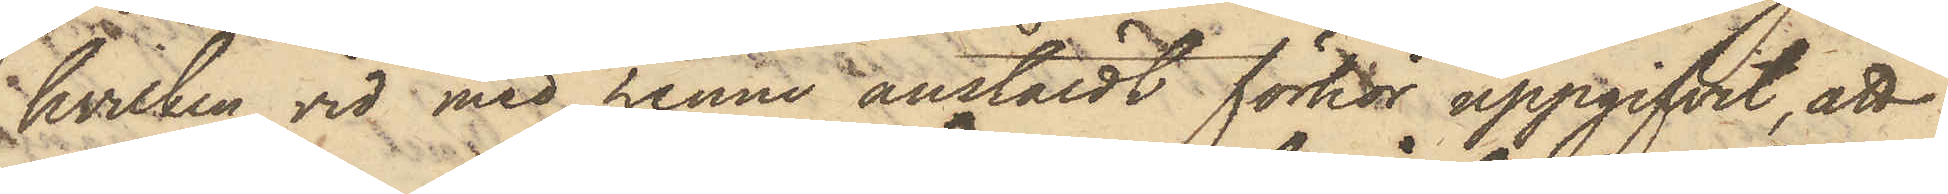hvilken vid med henne anstäldt förhör uppgifvit, att
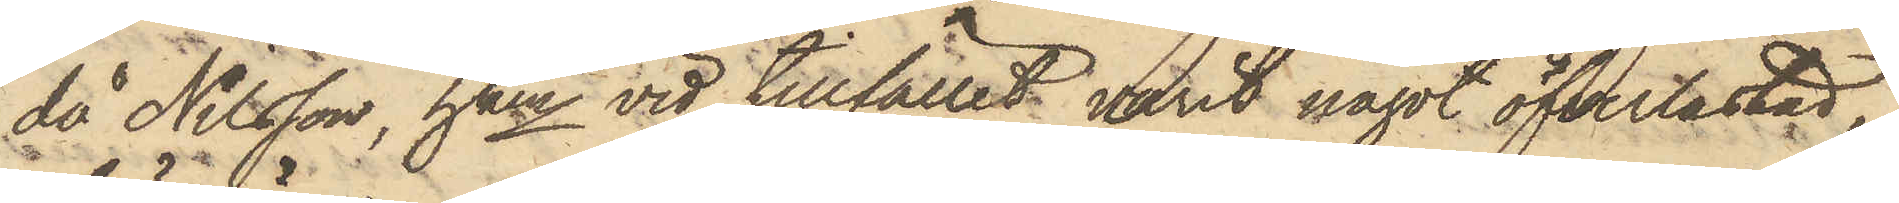då Nilsson, hken vid tillfället varit något öfverlastad,
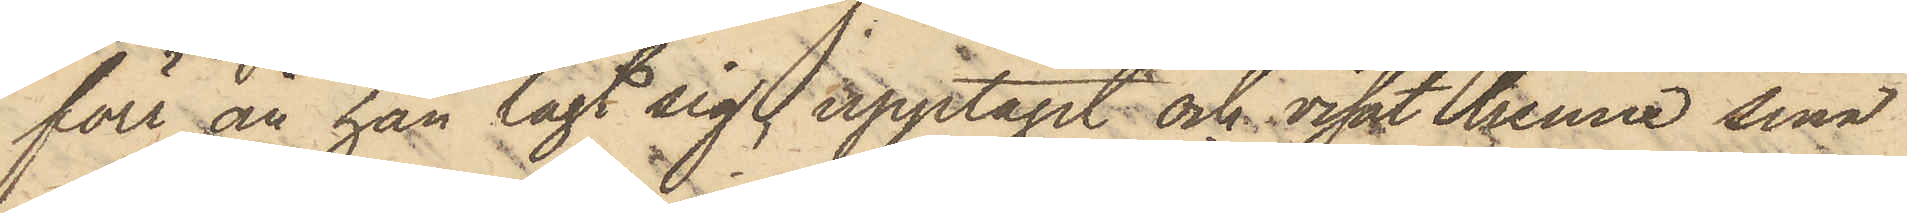förr än han lagt sig, upptagit och visat henne sina
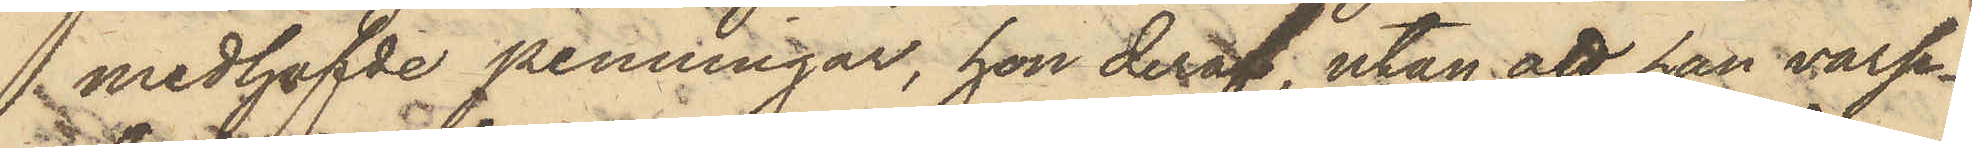medhafvde penningar, hon deraf, utan att han varse¬
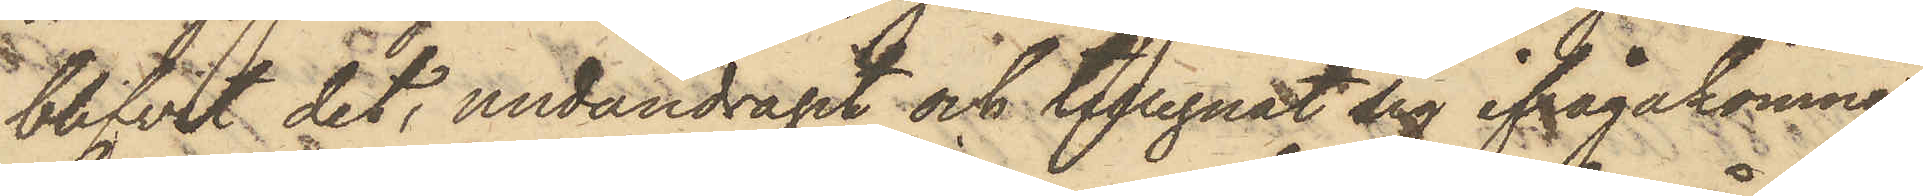blifvit det, undandragit och tillegnat sig ifrågakomne
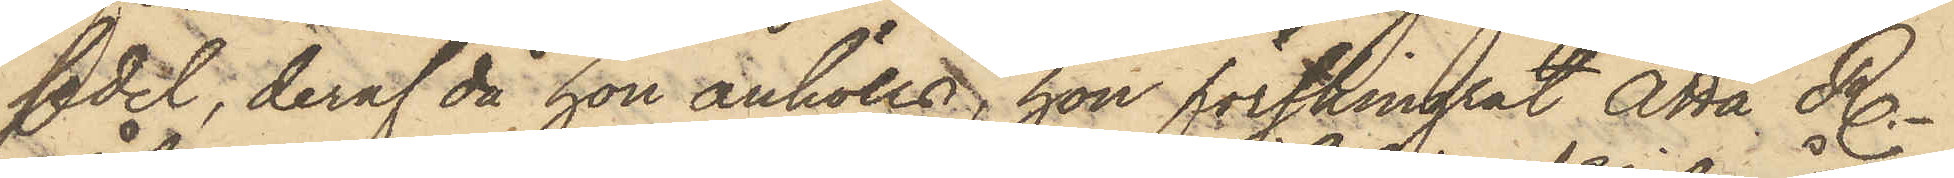sedel, deraf då hon anhölls, hon förskingrat Åtta R.
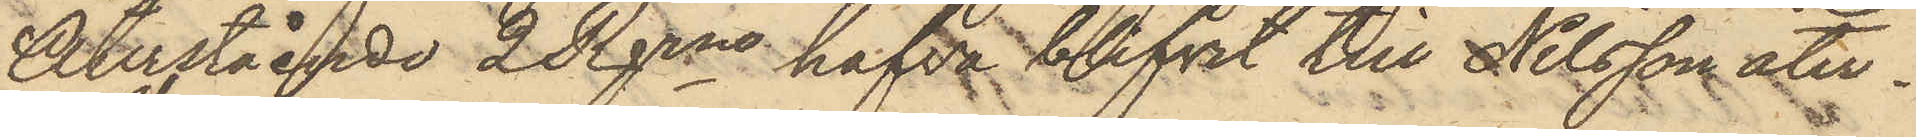Återstående 2 Rgrne hafva blifvit till Nilsson åter¬
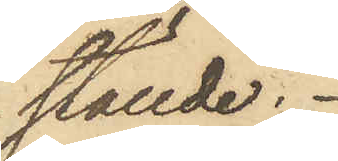ställde.
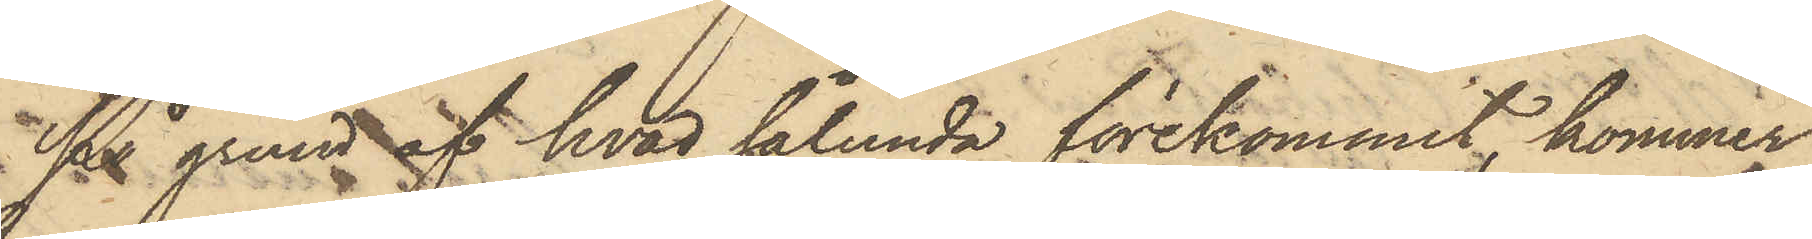På grund aft hvad sålunda förekommit, kommer
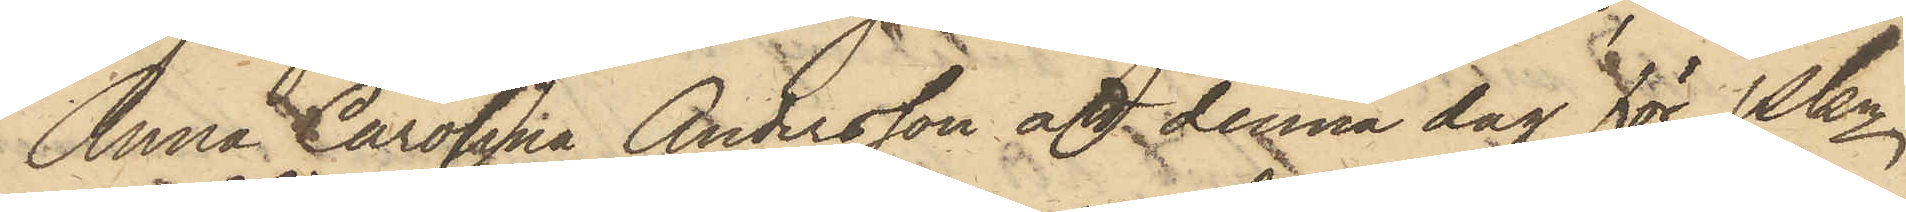Anna Carolina Andersson att denna dag för Pkn
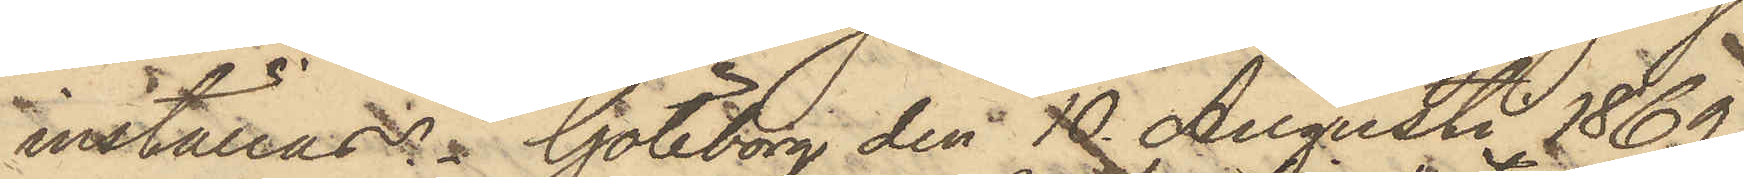inställas. Göteborg den 10 Augusti 1869.
